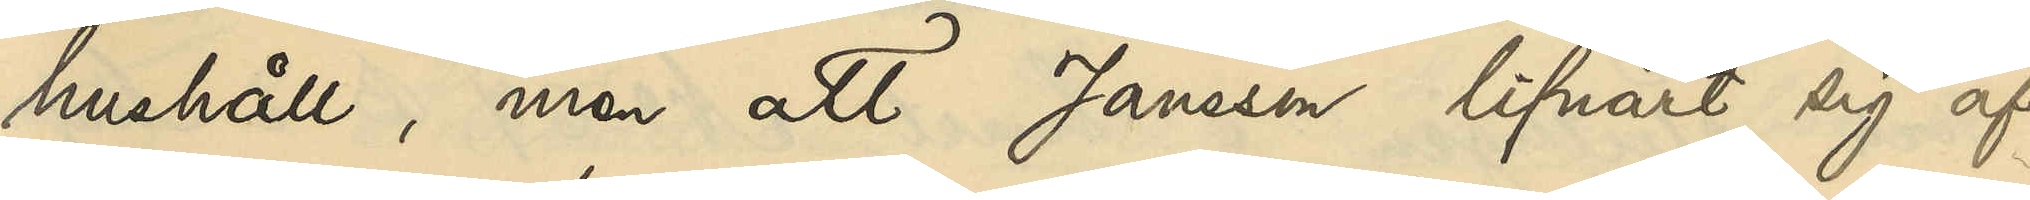hushåll, men att Jansson lifnärt sig af
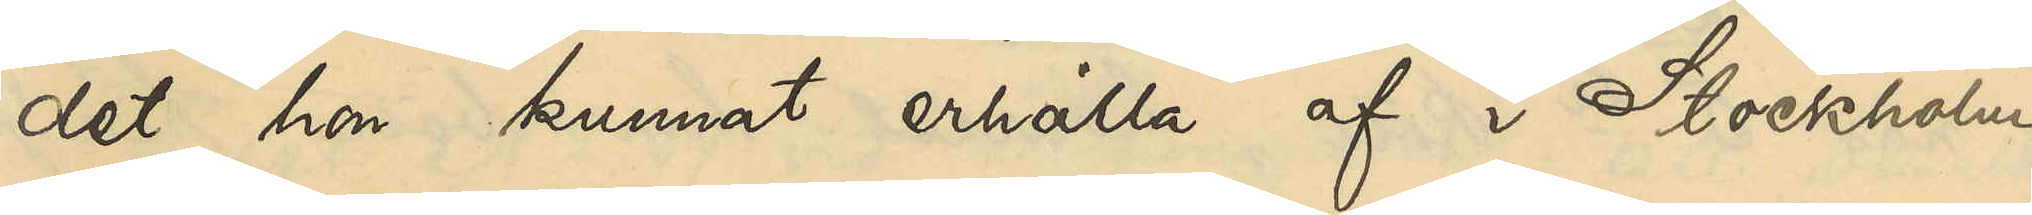det hon kunnat erhålla af i Stockholm
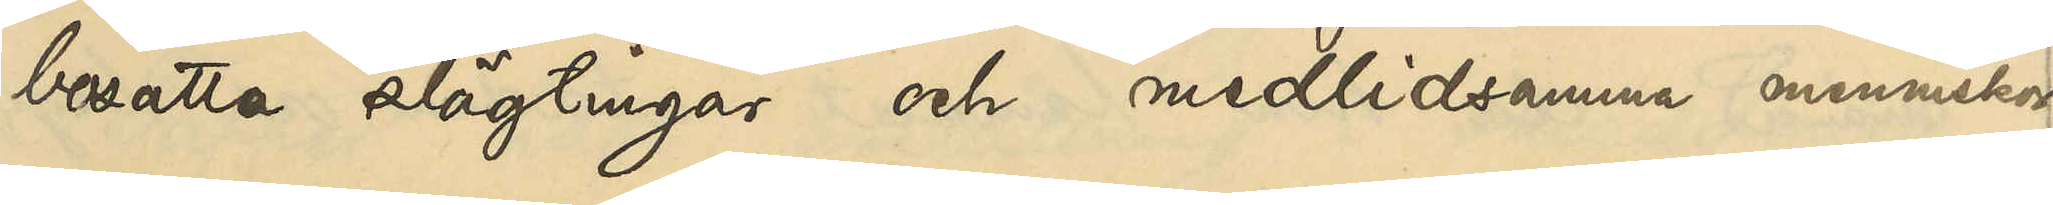bosatta slägtingar och medlidsamma människor;
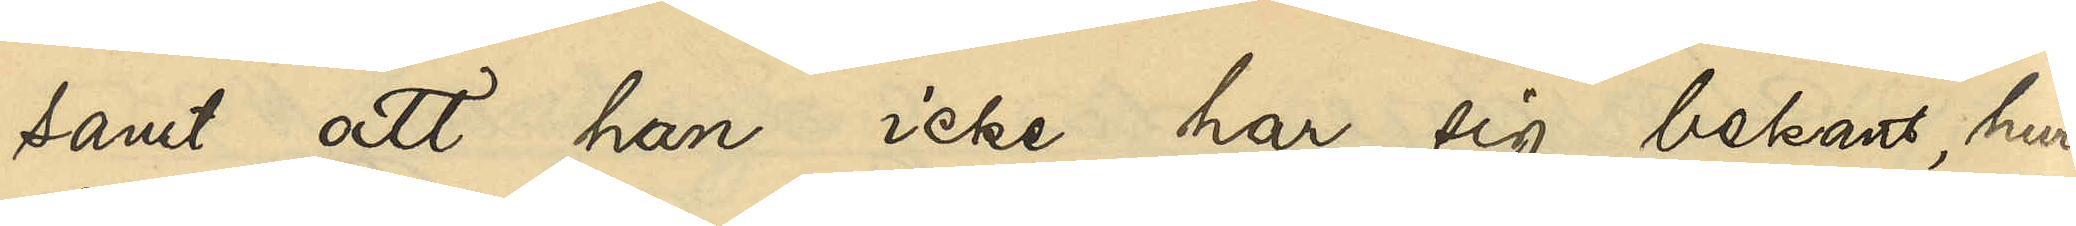samt att han icke har sig bekant, huru
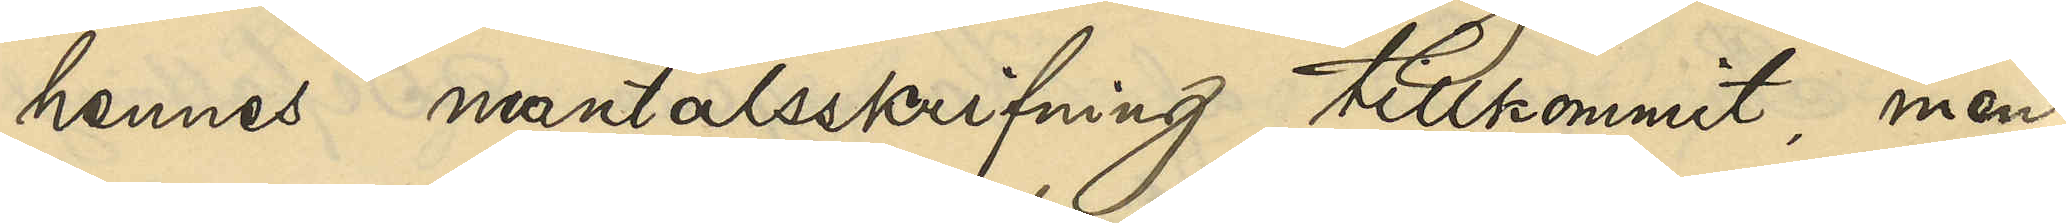hennes mantalsskrifning tillkommit, men
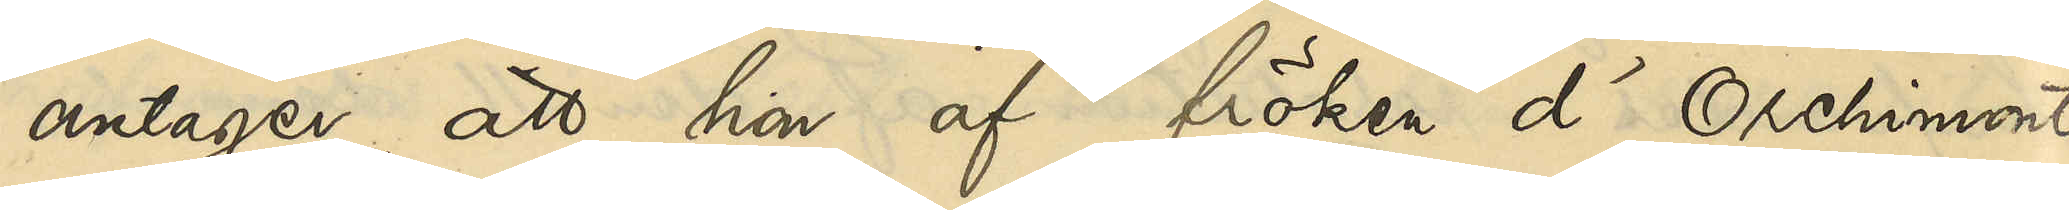antager, att hon af fröken d'Orchimont
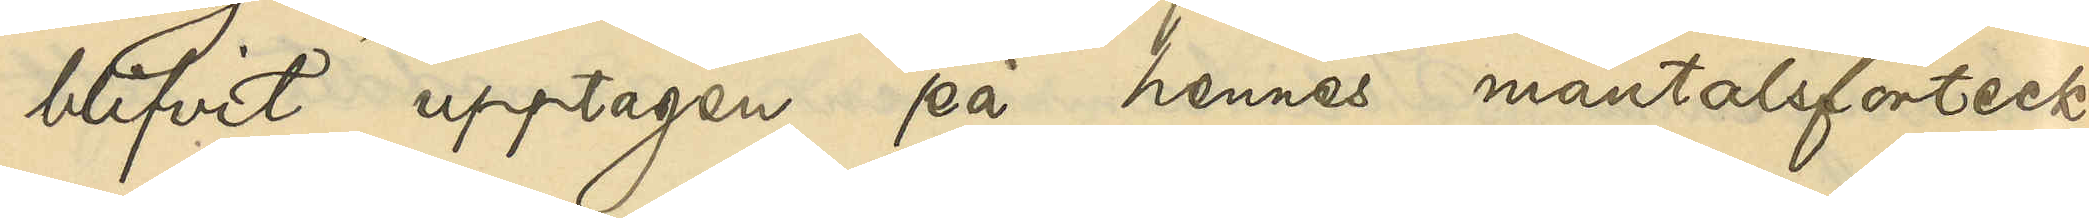blifvit upptagen på hennes mantalsförteck¬
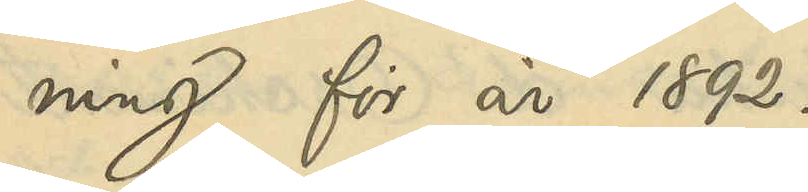ning för år 1892.
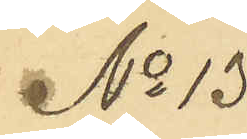No 13
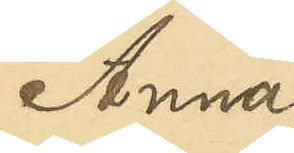Anna
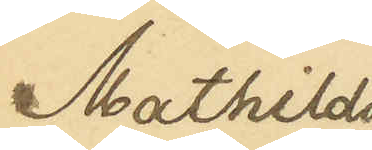Mathilda
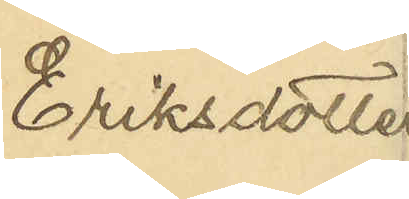Eriksdotter
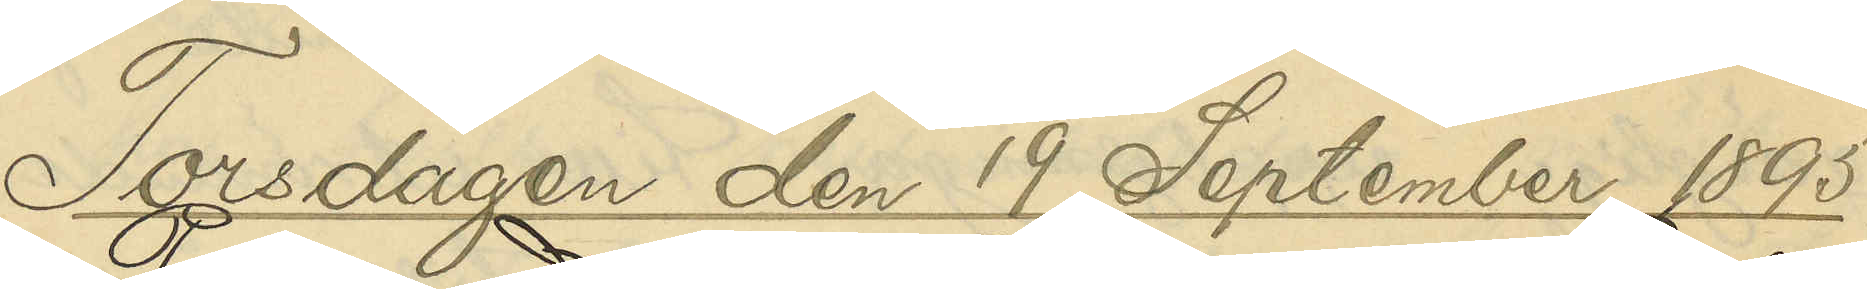Torsdagen den 19 September 1895
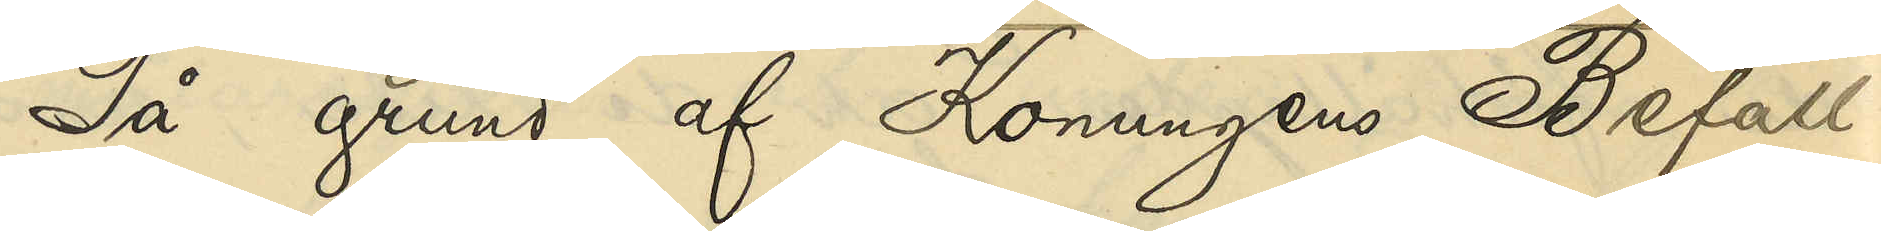På grund af Konungens Befall¬
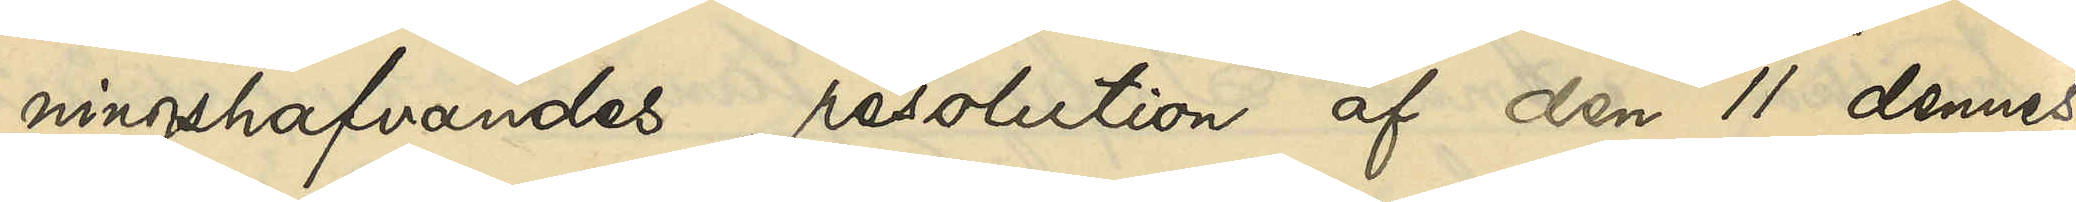ningshafvandes resolution af den 11 dennes,
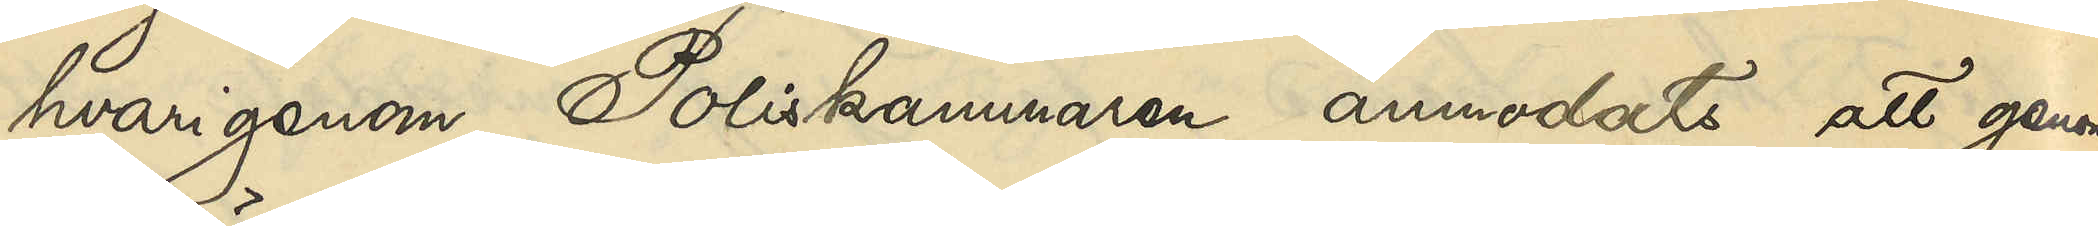hvarigenom Poliskammaren anmodats att genom
